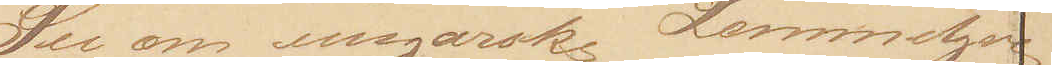See om ungarske Lommetyve
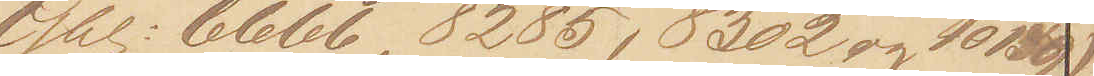Gbl: 6666, 8285, 8302 og 10159)
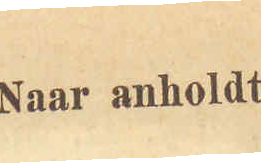Naar anholdt
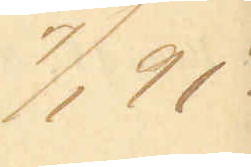7/1 91
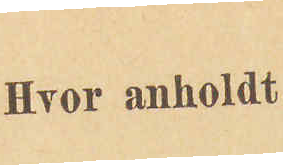Hvor anholdt
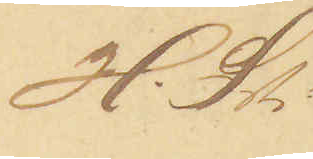H.St.
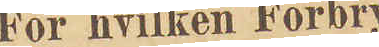For hvilken Forbry¬
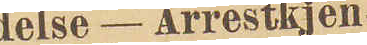delse - Arrestkjen¬
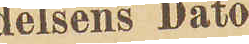delsens Dato
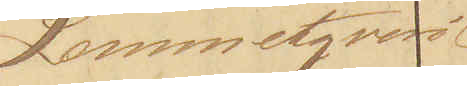Lommetyveri
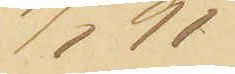7/1 91
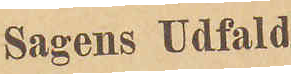Sagens Udfald
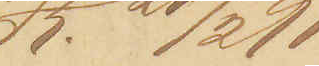K. 21/2 91.
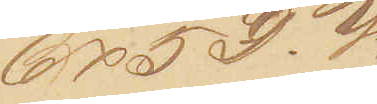6x5 D. V.
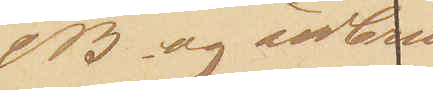& B. og udbrin¬
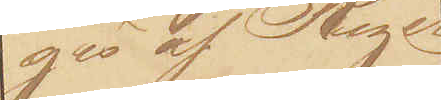ges af Riget
